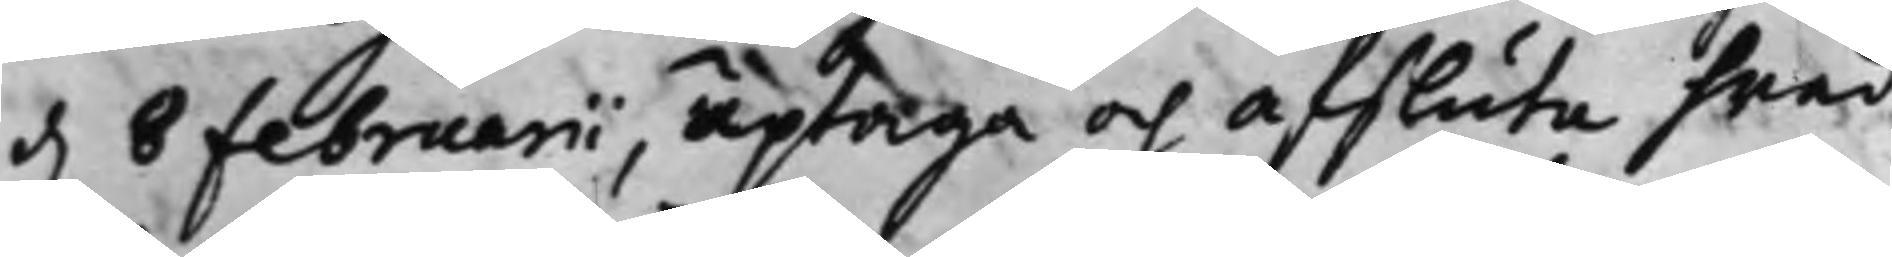d. 8 Februarii, uptaga och afsluta hwad
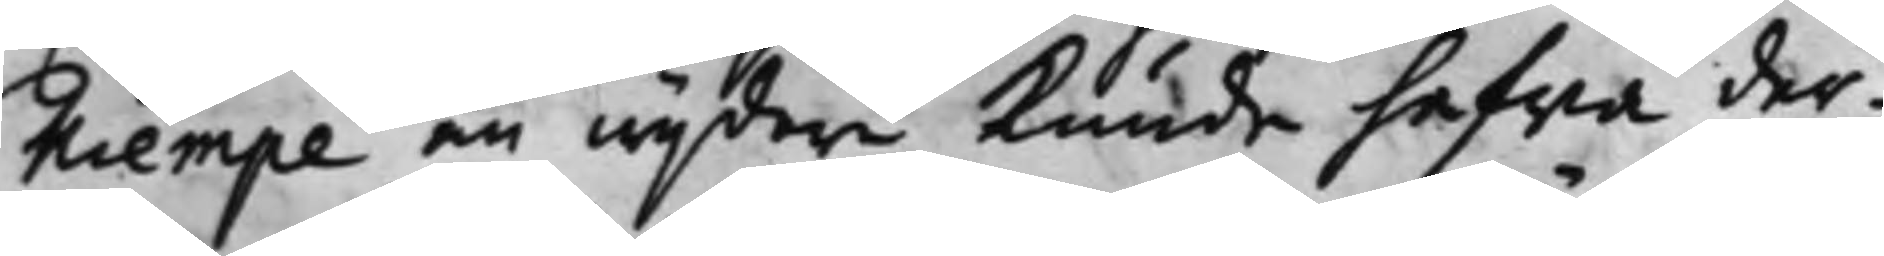Kiempe än wijdare Kunde hafwa der¬
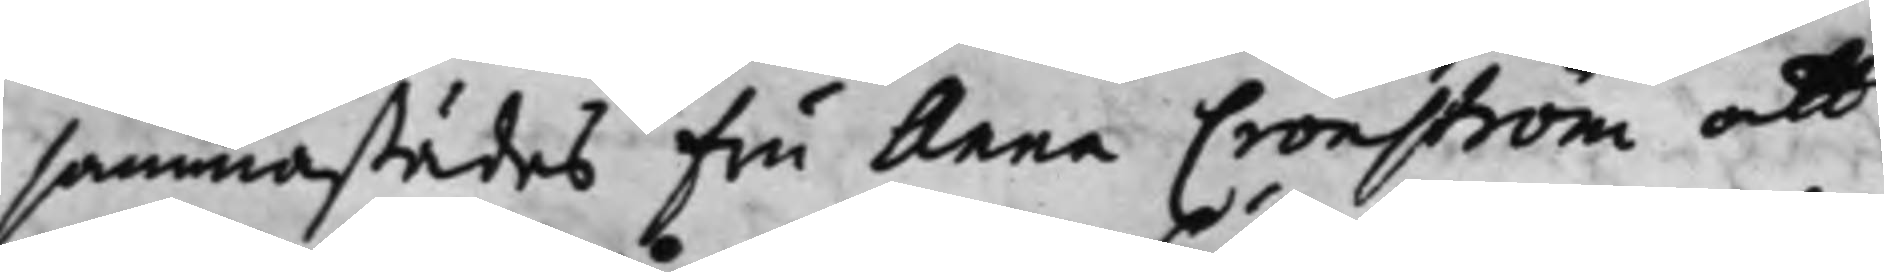sammastädes Fru Anna Cronström att
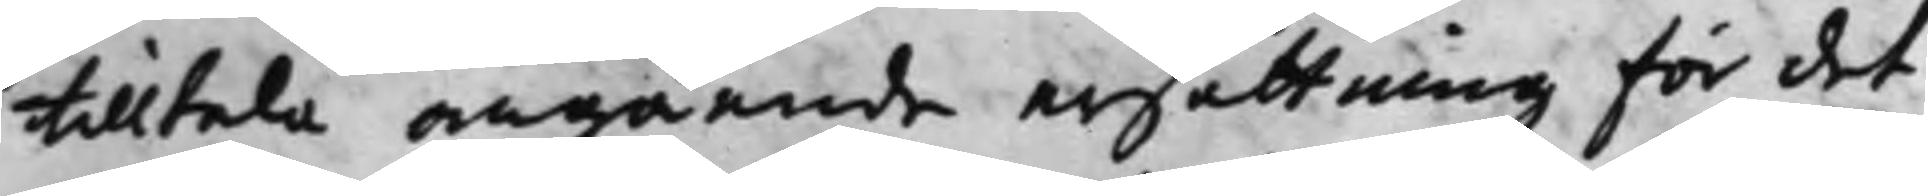tilltala angående ersättning för det
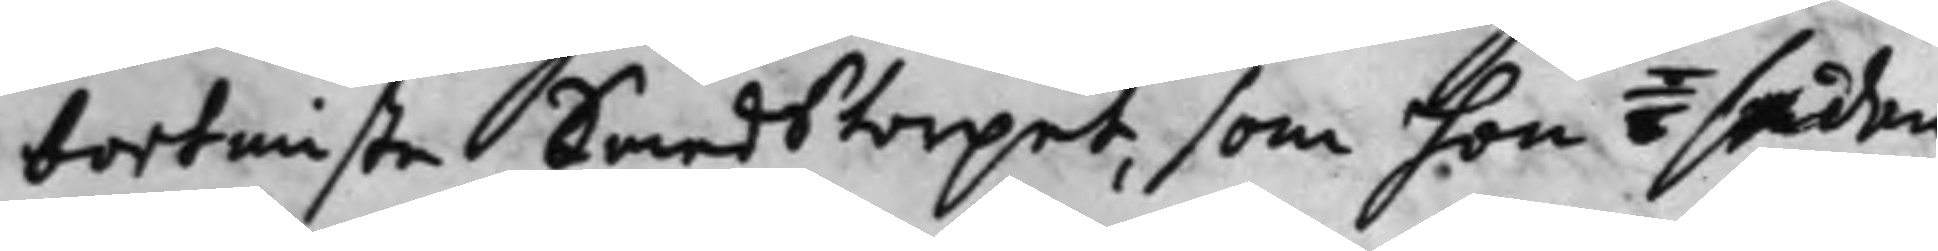bortmiste Smedstorpet, som hon  / sedan
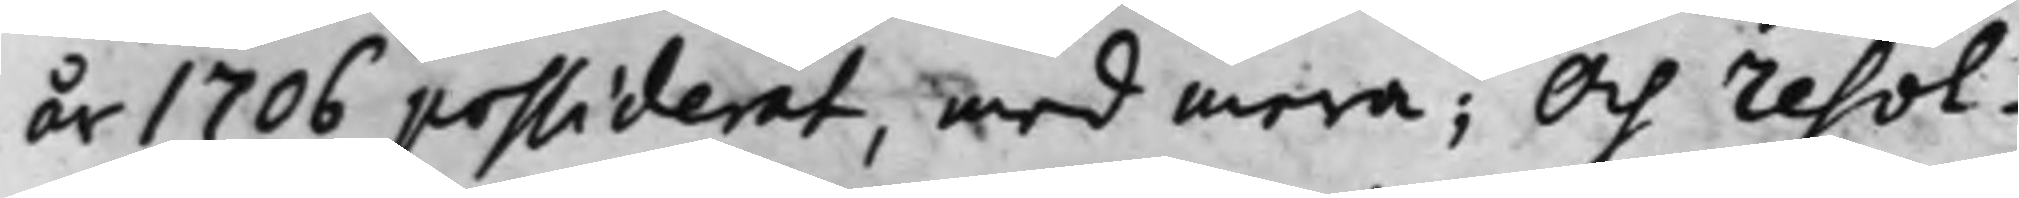år 1706 possiderat, med mera; Och resol¬
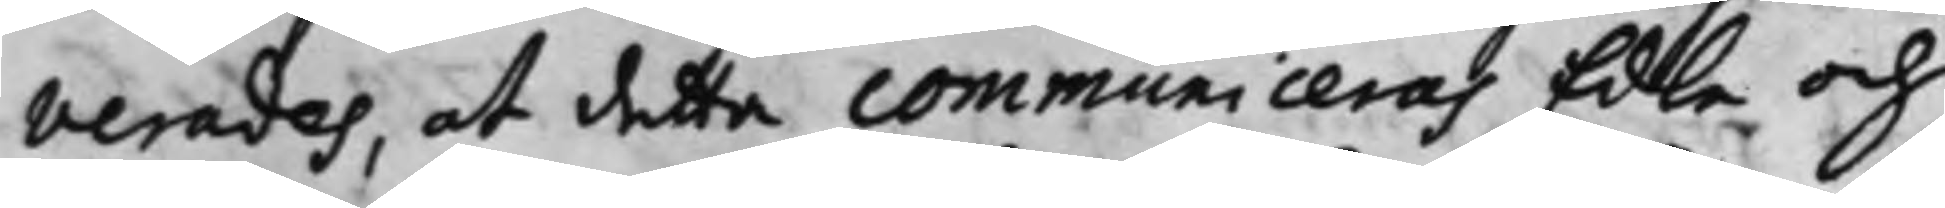verades, at detta communiceras Edle och
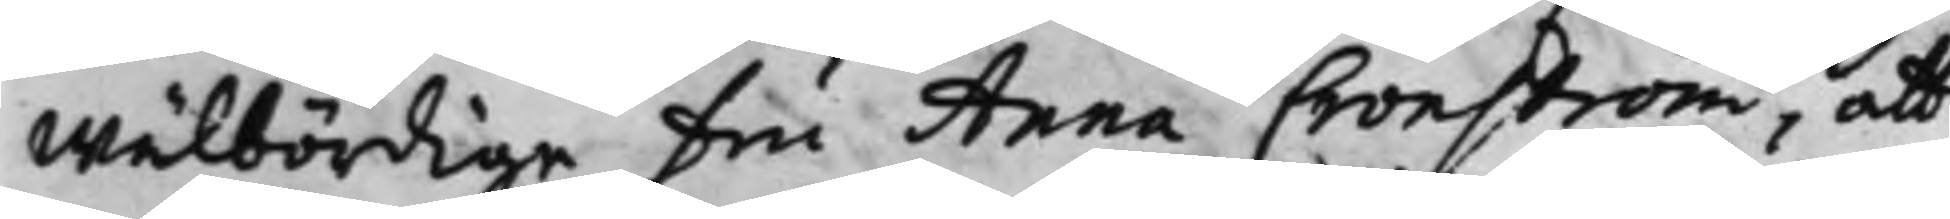Wälbördige Fru Anna Cronström, att
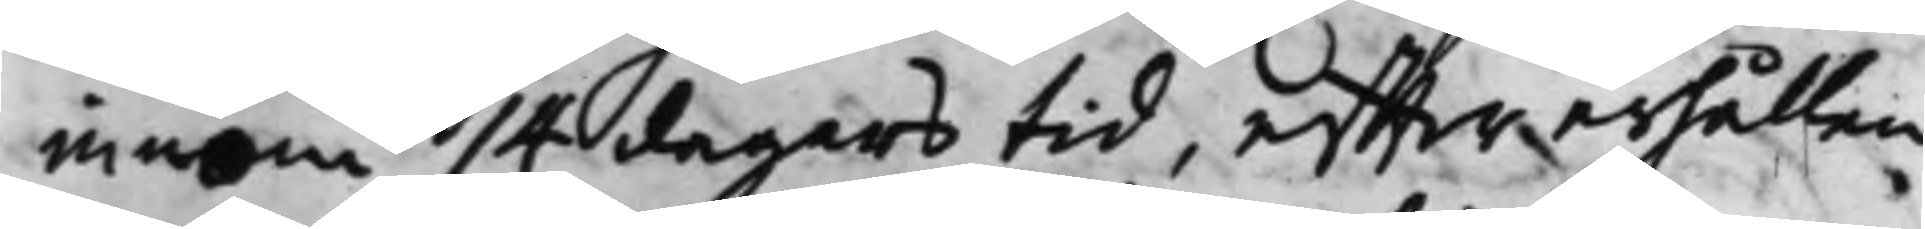innom 14 dagars tid, effter erhållen
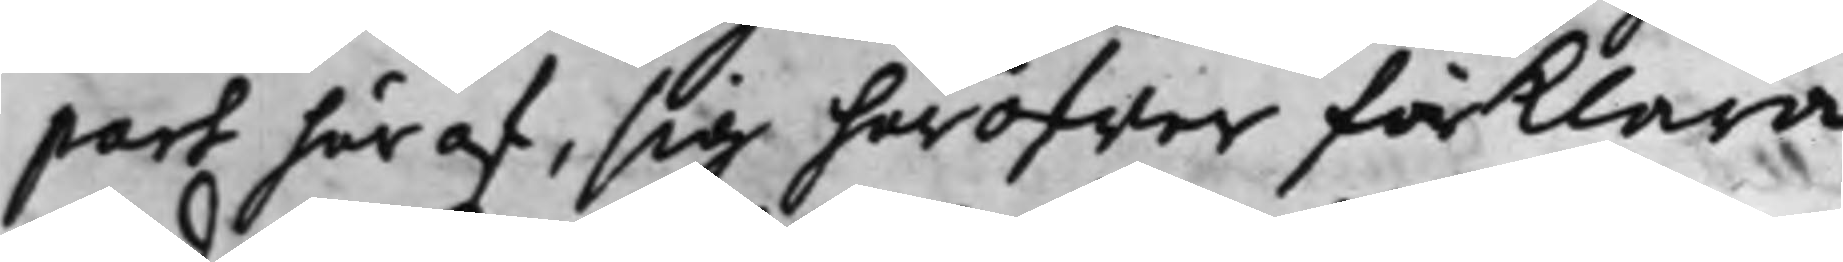part här af, sig häröfwer förklara
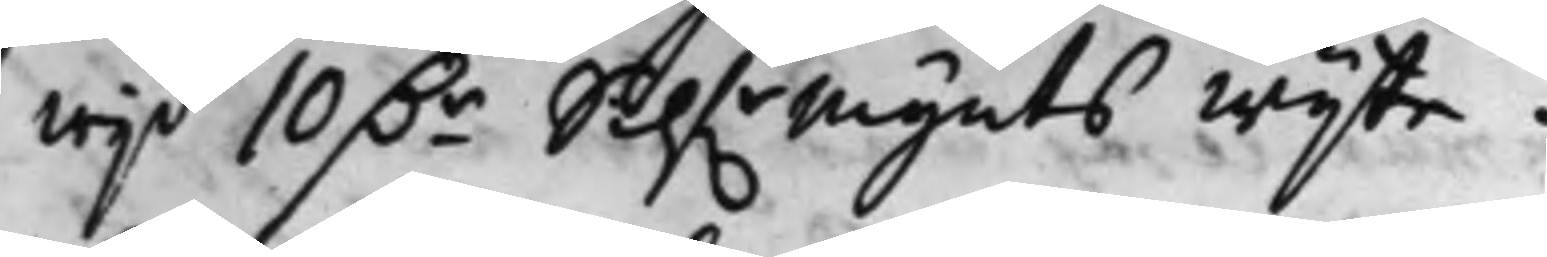wijd 10 D.r Silf.rMynts wijte.
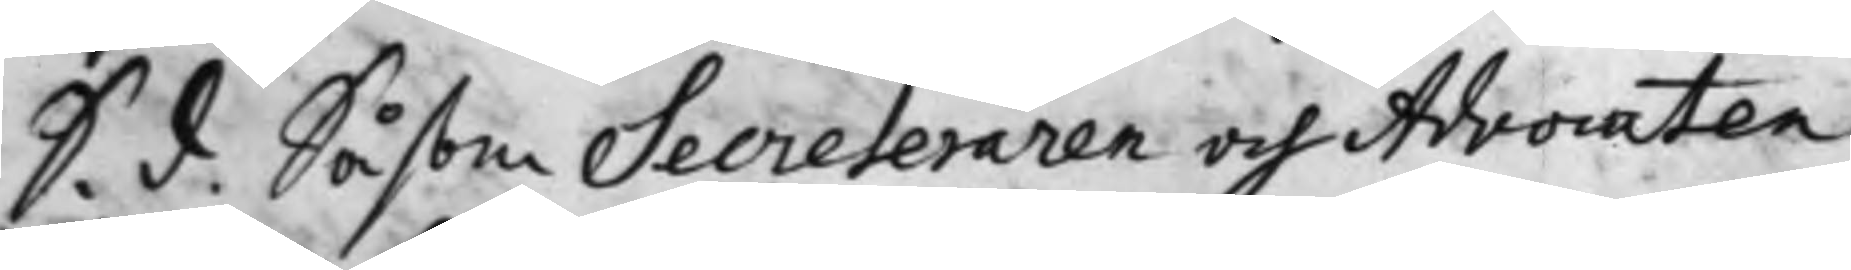S. d. Såsom Secreteraren och Advocaten
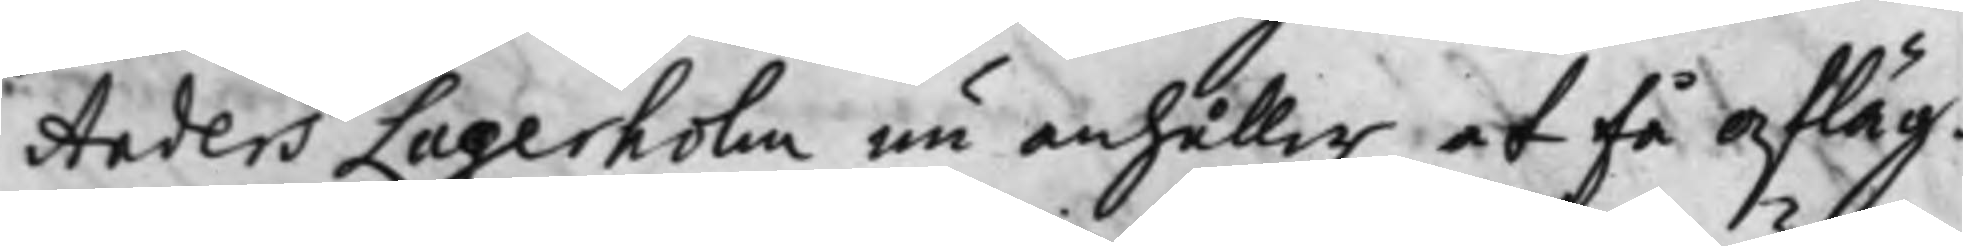Anders Lagerholm nu anhåller at få afläg¬
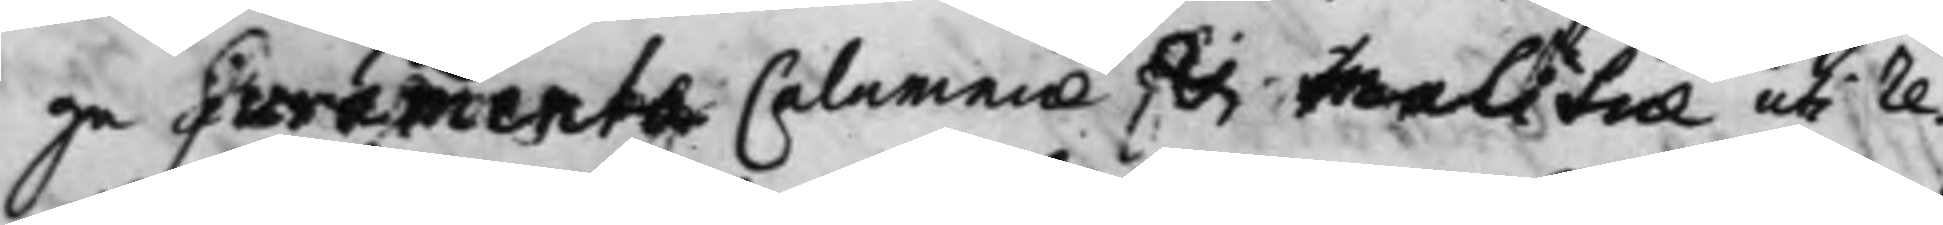ga Suramenta Calamniae för Malitiae uti re¬
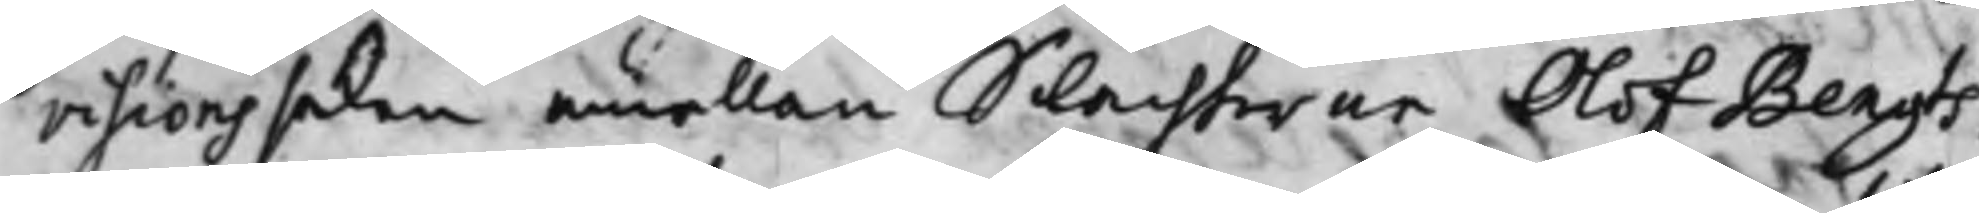visionssaken emellan Slachtaren Olof Bengts¬
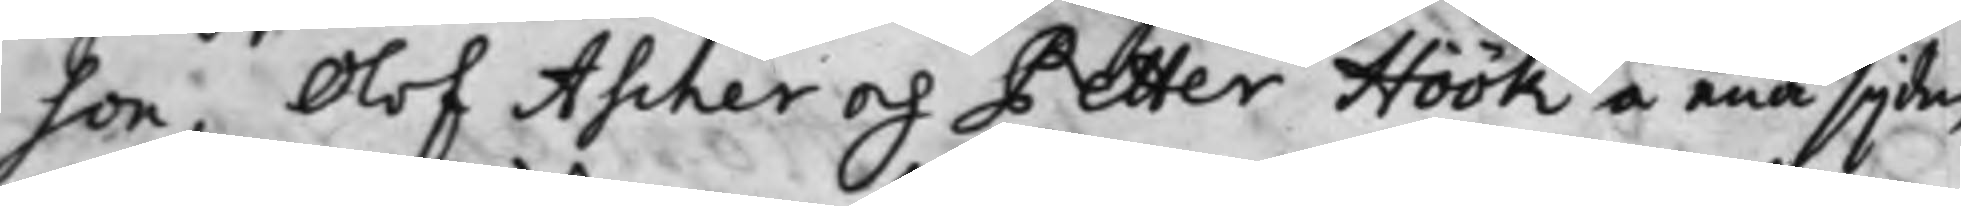son, Olof Ascher och Petter Höök å ena sijdan
